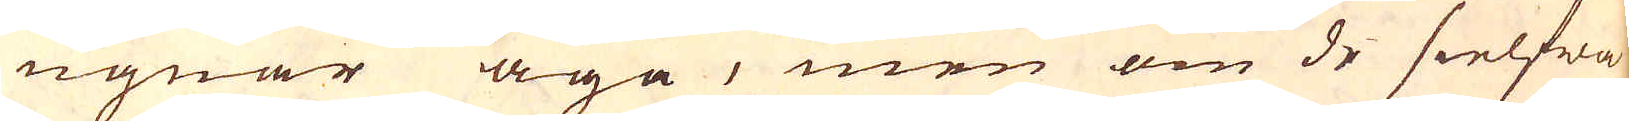ugnar äga, men om de sielfwa
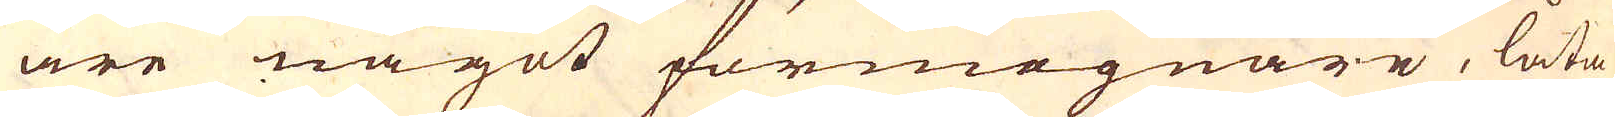äre något förmögnare, låta
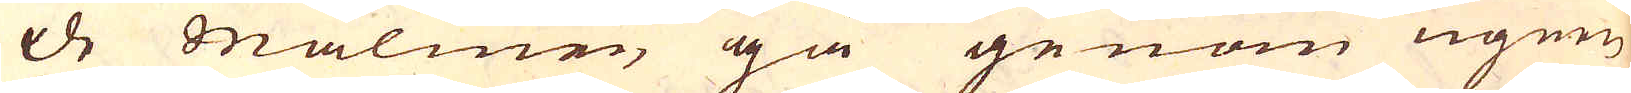de malmen gå genom ugnen
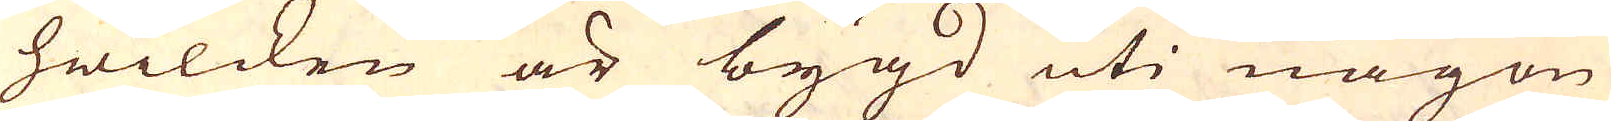hwilcken är bygd uti någon
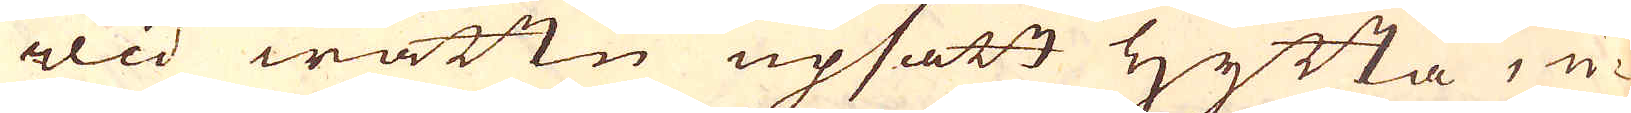wid wattn upsatt hytta, u-
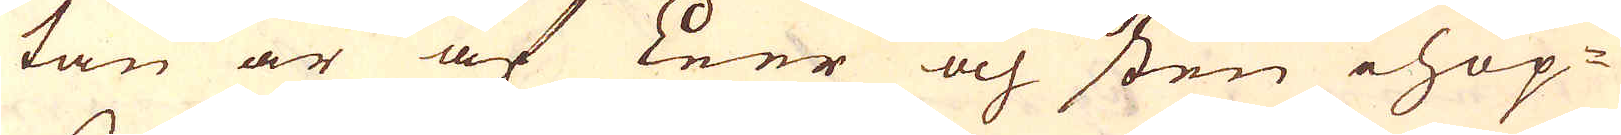tan är af Leer och sten ihop-
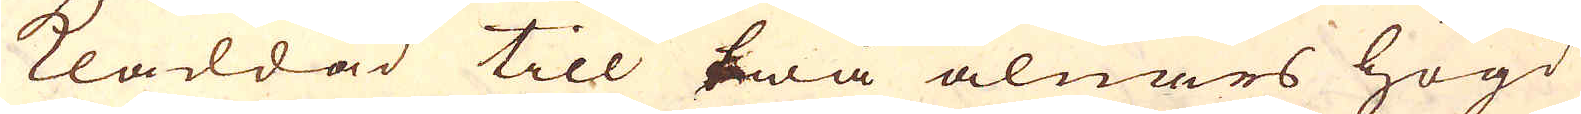kladdad till twå alnars högd
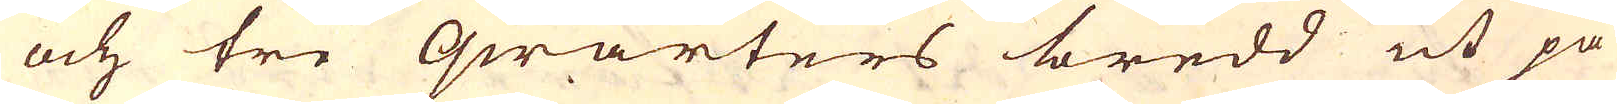och tre qwarters bredd ut på
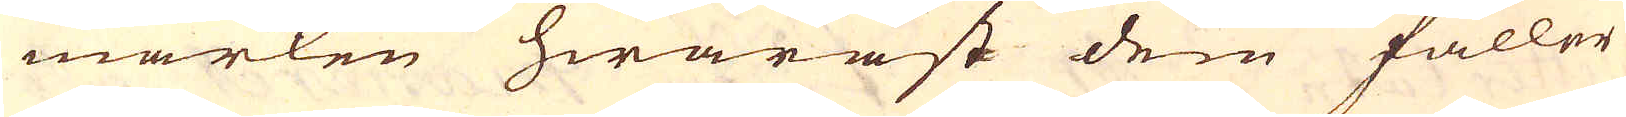marken hwaräst dem faller
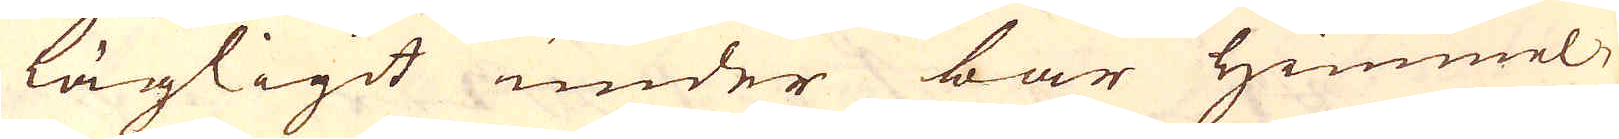lägligit under bar himmel,
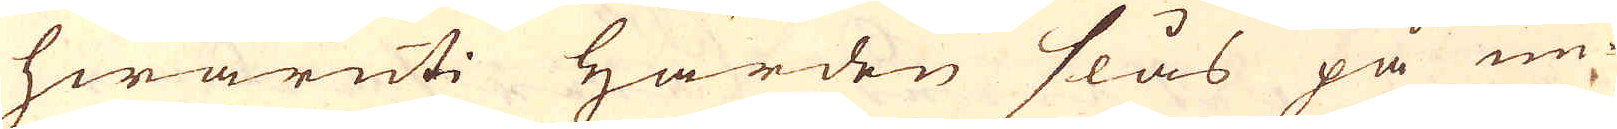hwaruti härden slås på un-
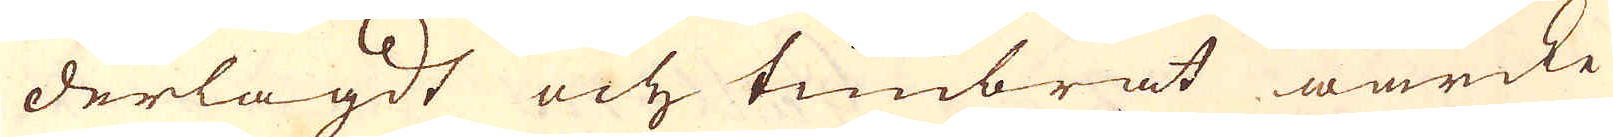derlagdt och timbrat wärcke
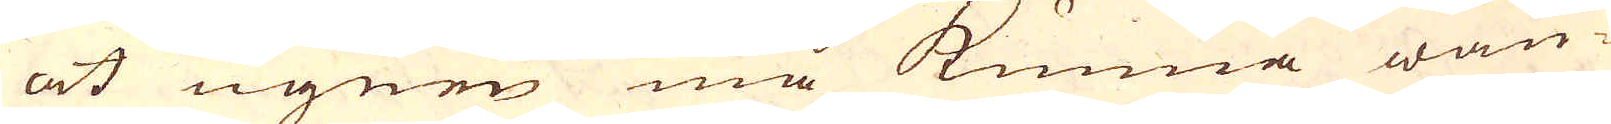at ugnen må kunna wän-
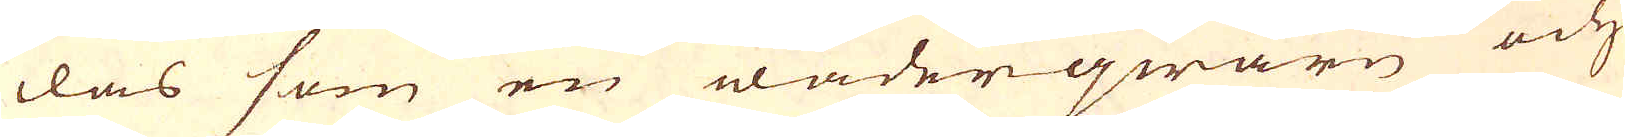das som en wäderqwarn och
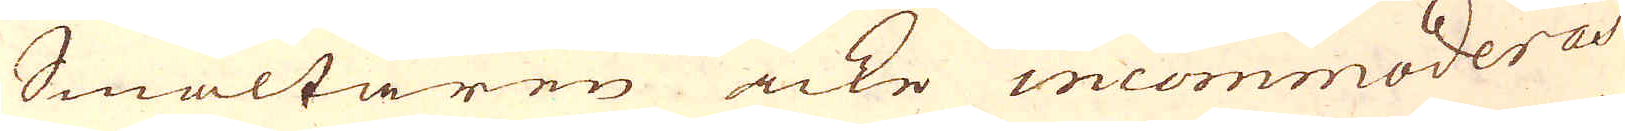Smältaren icke incommoderas
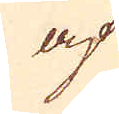ap
